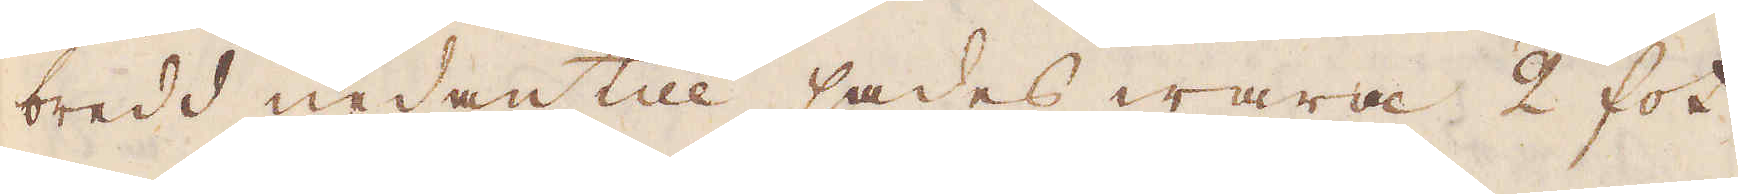bredd nedantill sades wara 2 fot
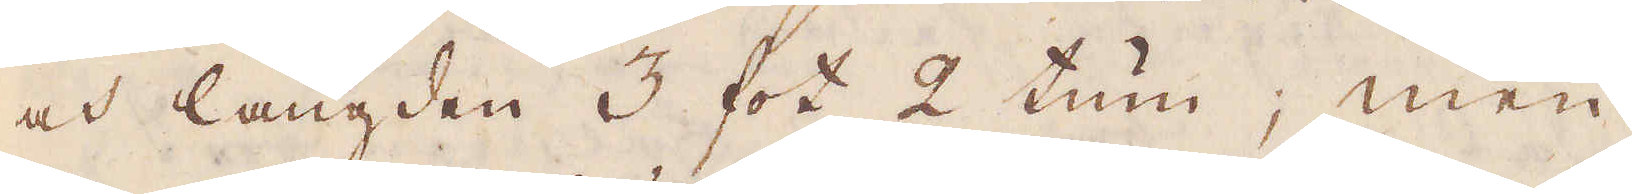och längden 3 fot 2 tum; men
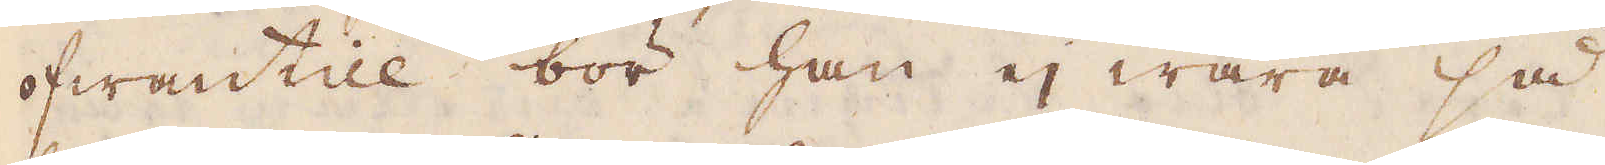ofwantill bör han ej wara så
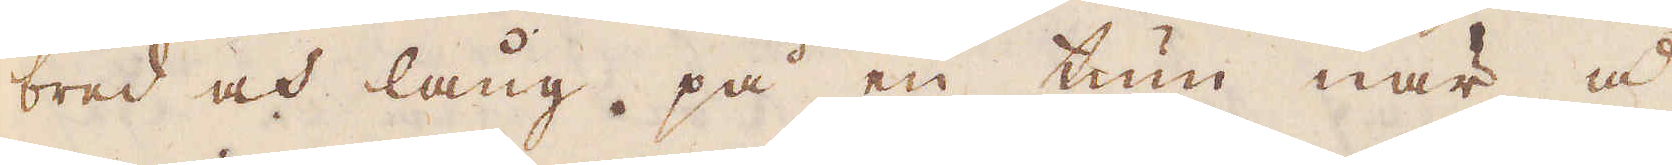bred och lång, på en tum när i
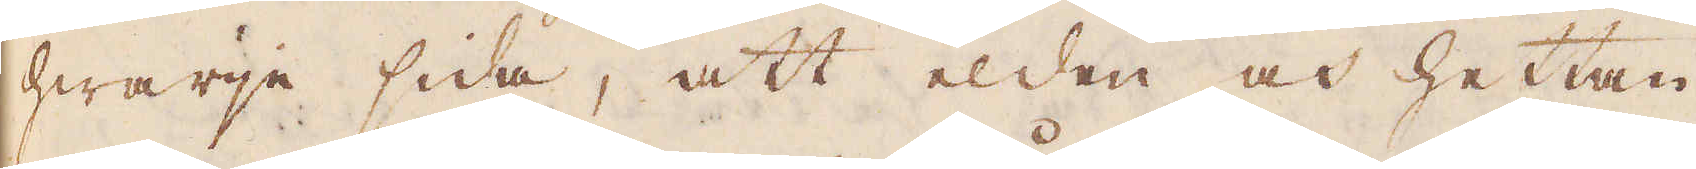hwarje sida, att elden och hettan
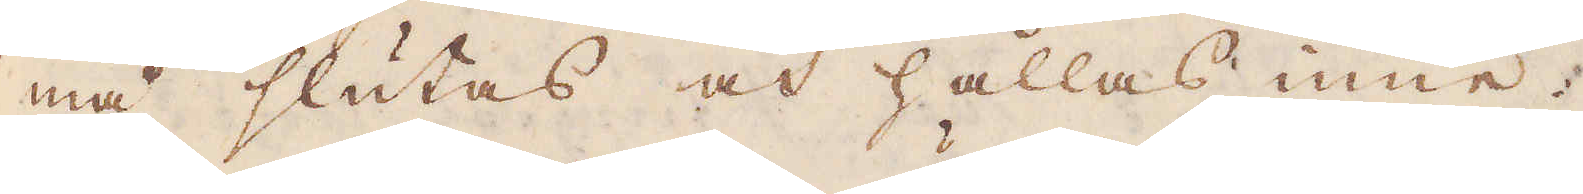må slutas och hållas inne.
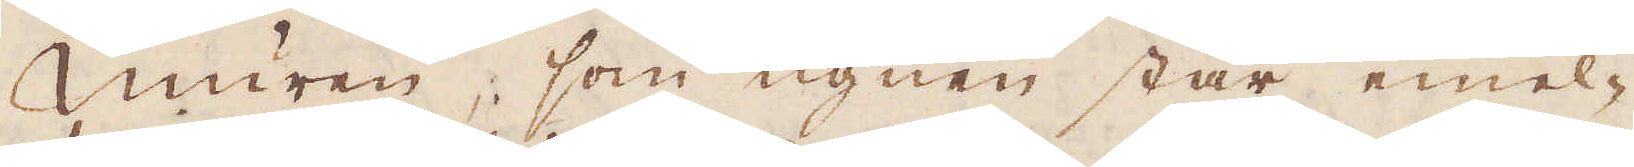Muren, som ugnen står emel-
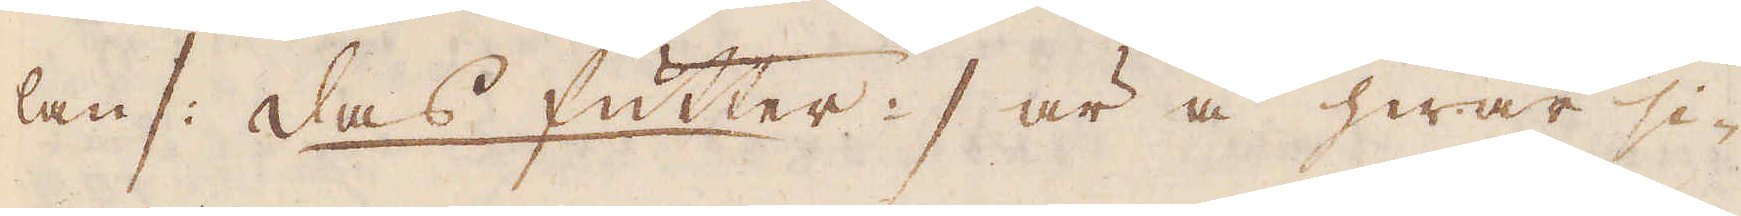lan /: das futter :/ är å hwar si-
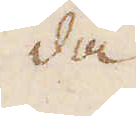da
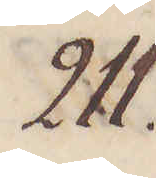211.
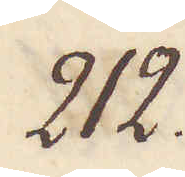212.
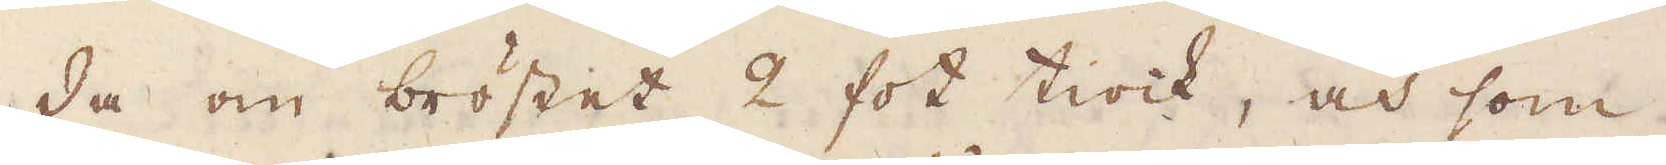da om bröstet 2 fot tiock, och som
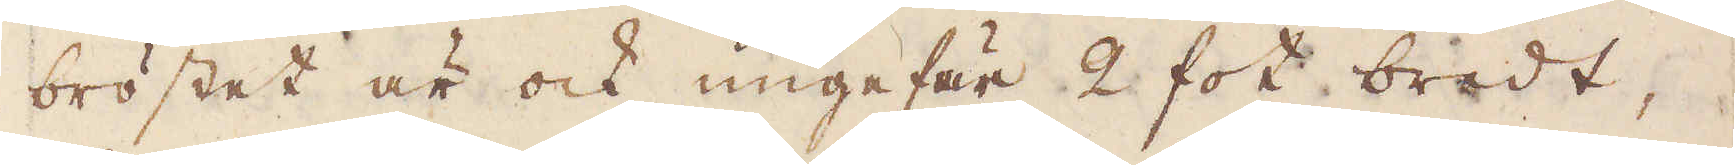bröstet är ock ungefär 2 fot bredt,
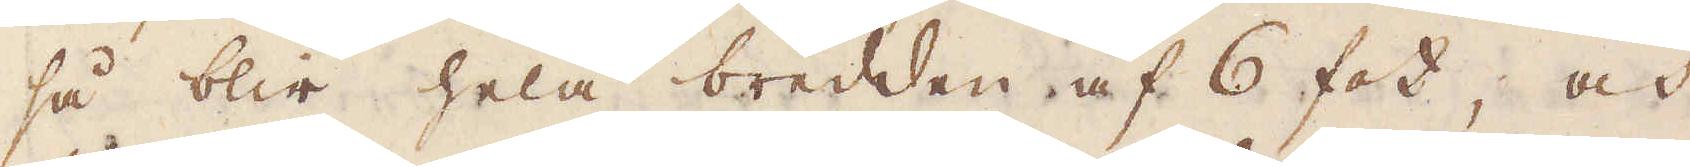så blir hela bredden af 6 fot, och
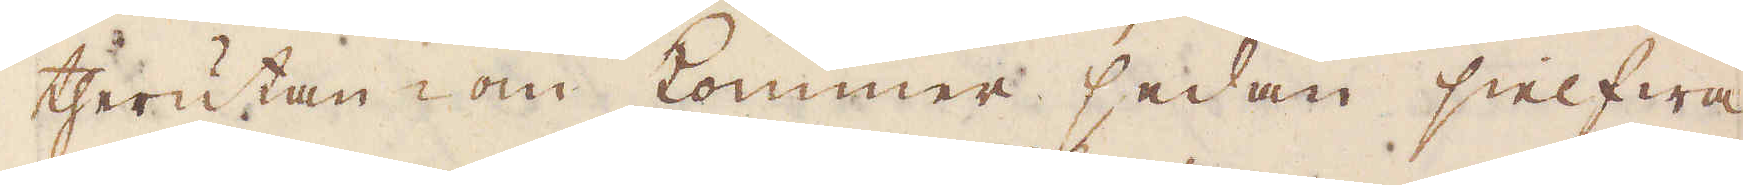therutan om kommer sedan sielfwa
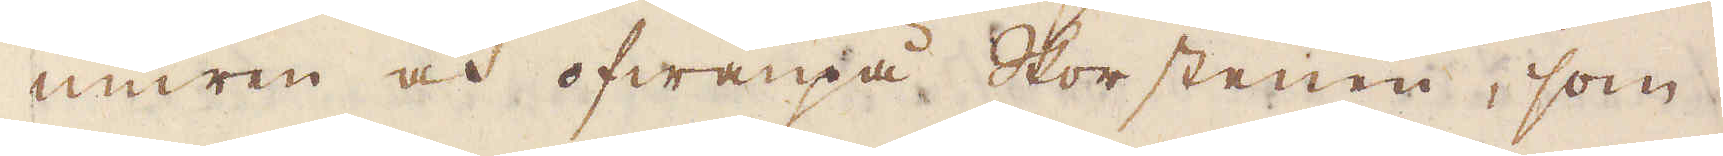muren och ofwanpå Skorstenen, som
